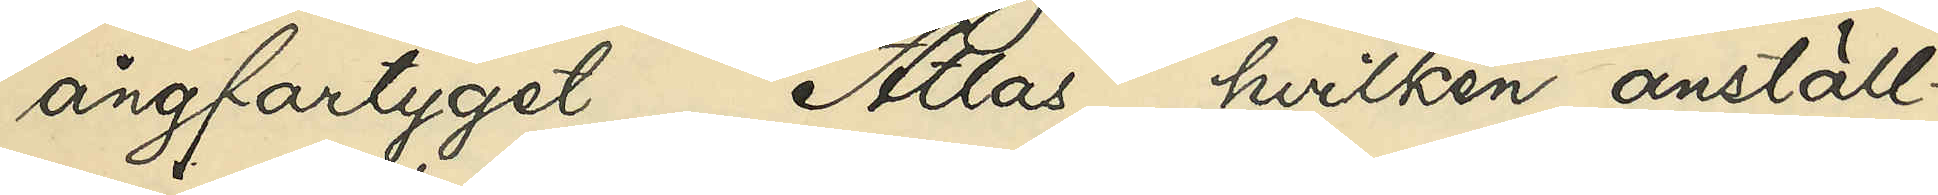ångfartyget "Atlas", hvilken anställ¬
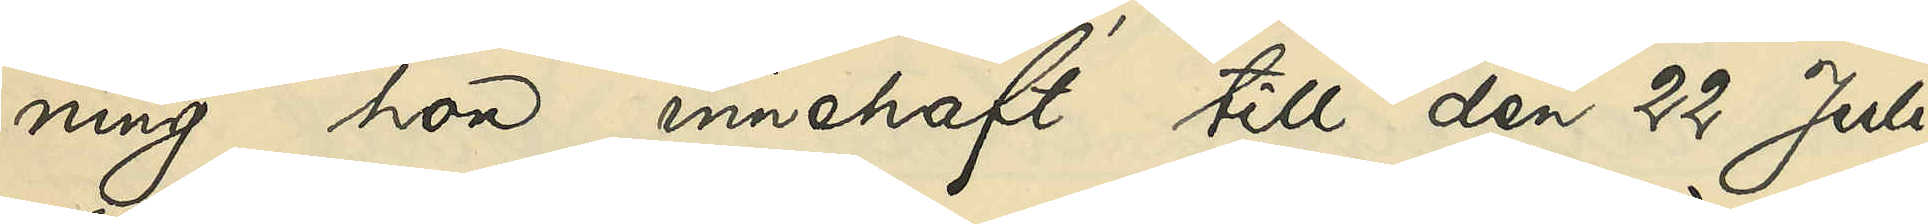ning hon innehaft till den 22 Juli
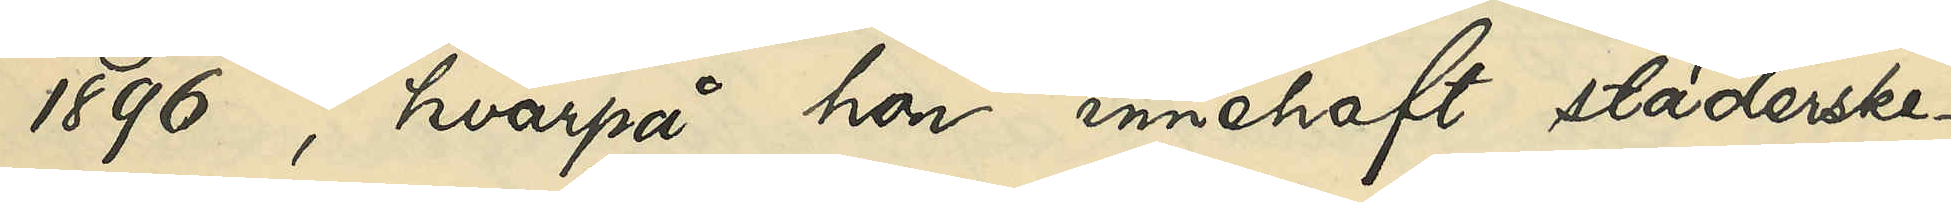1896, hvarpå hon innehaft städerske¬
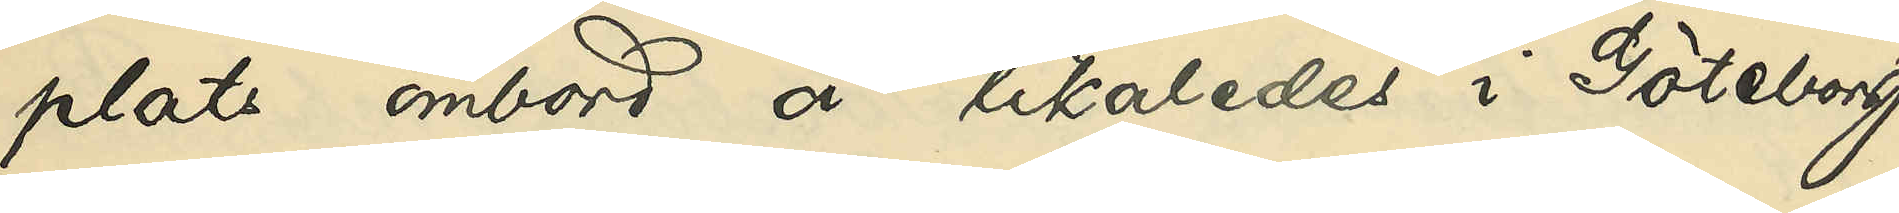plats ombord å likaledes i Göteborg
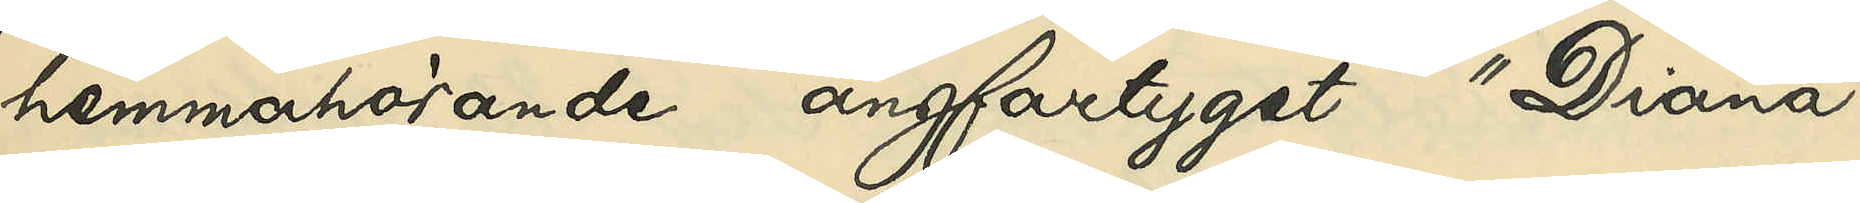hemmahörande ångfartyget "Diana"
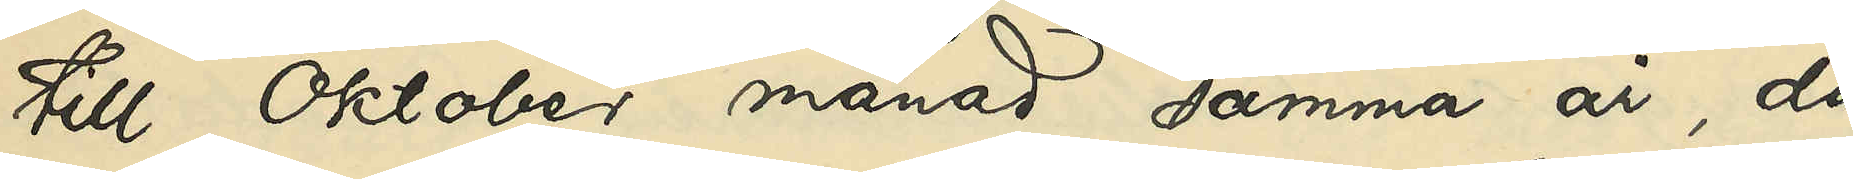till Oktober månad samma år, då
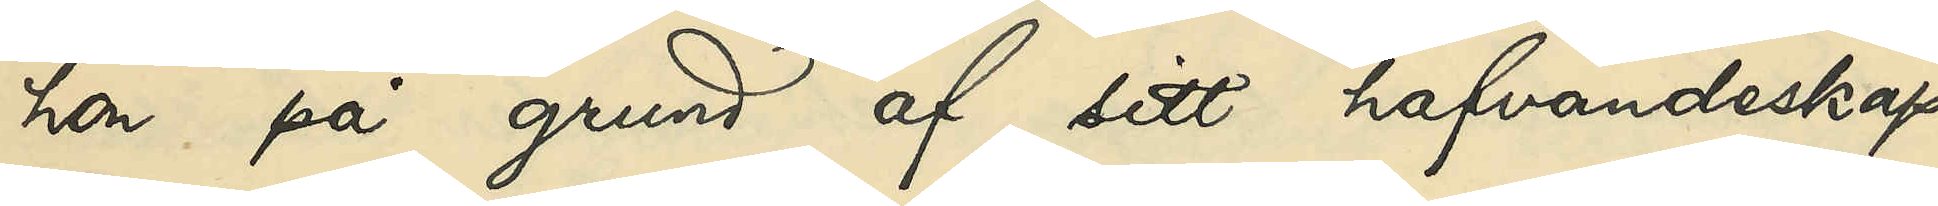hon på grund af sitt hafvandeskap
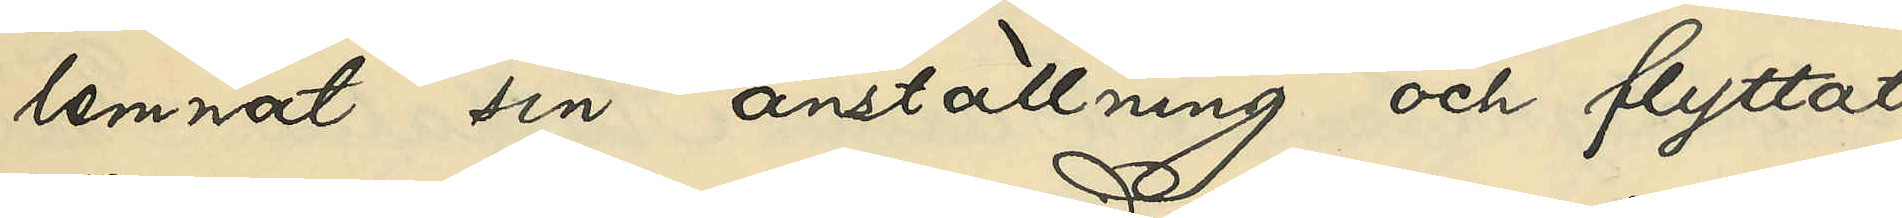lemnat sin anställning och flyttat
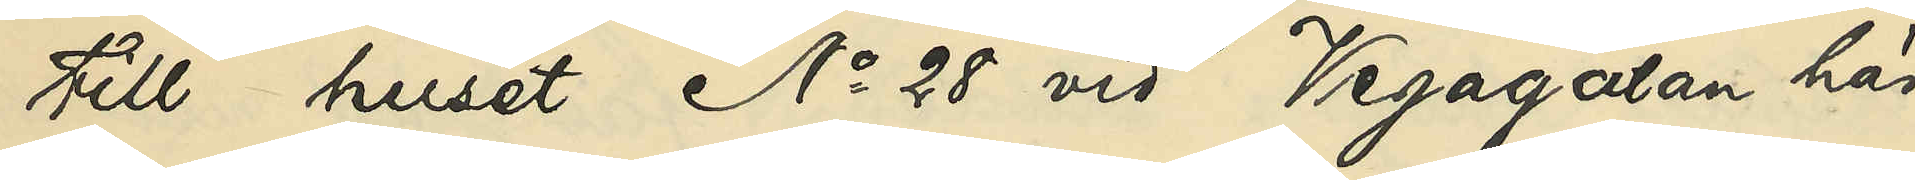till huset No 28 vid Vegagatan här
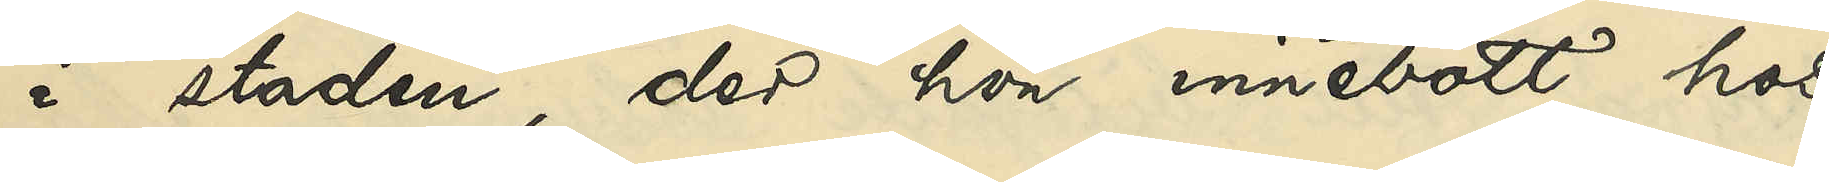i staden, der hon innebott hos
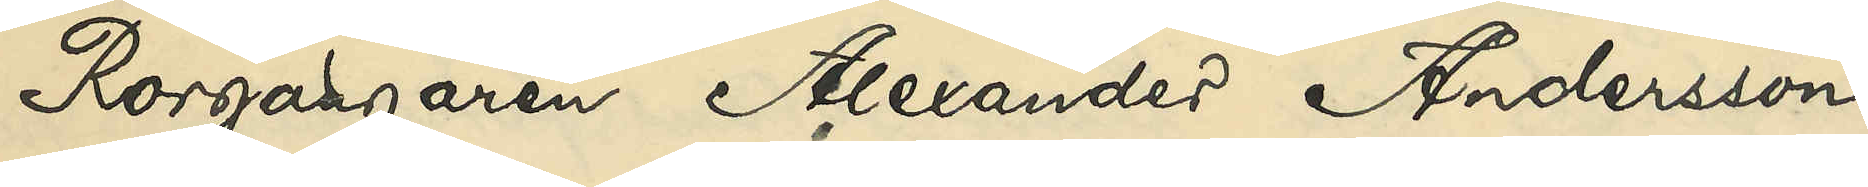Rorgängaren Alexander Andersson
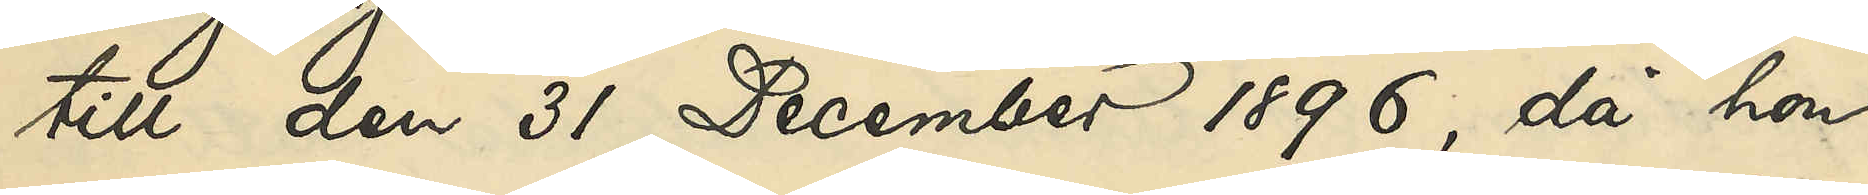till den 31 December 1896, då hon
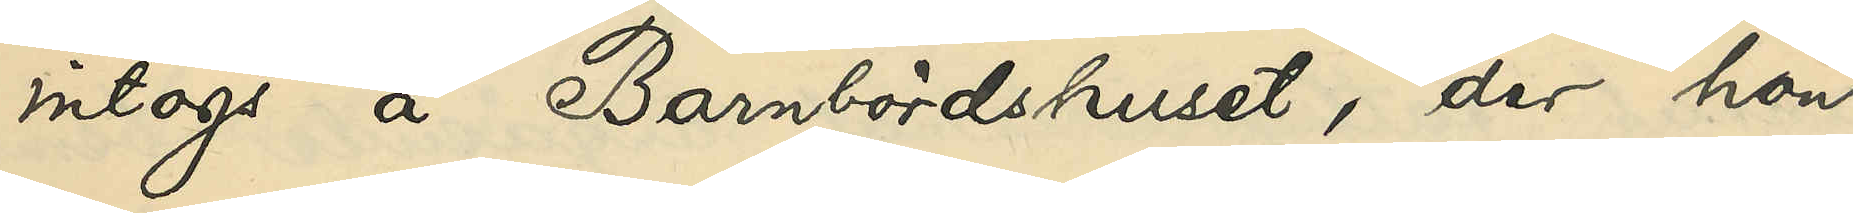intogs å Barnbördshuset, der hon
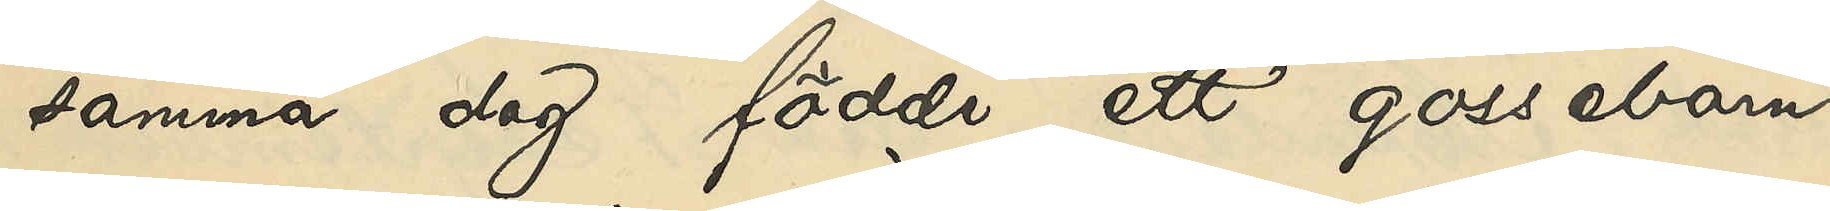samma dag födde ett gossebarn,
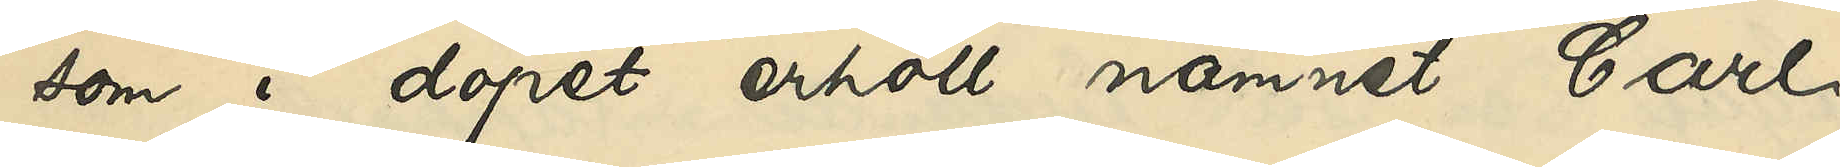som i dopet erhöll namnet Carl
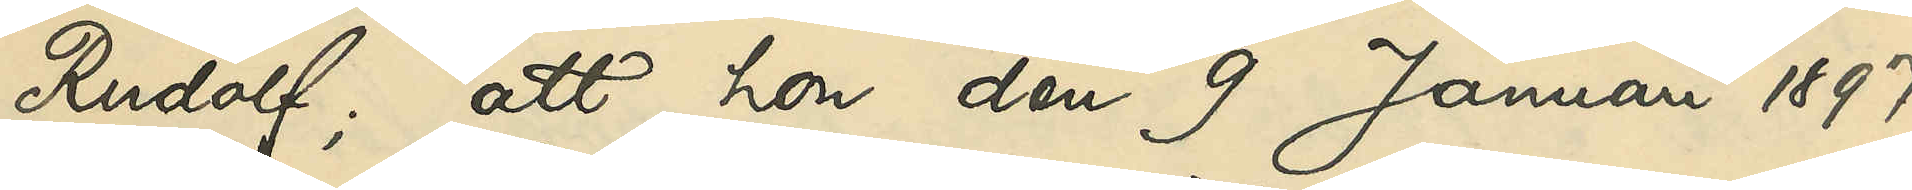Rudolf; att hon den 9 Januari 1897
